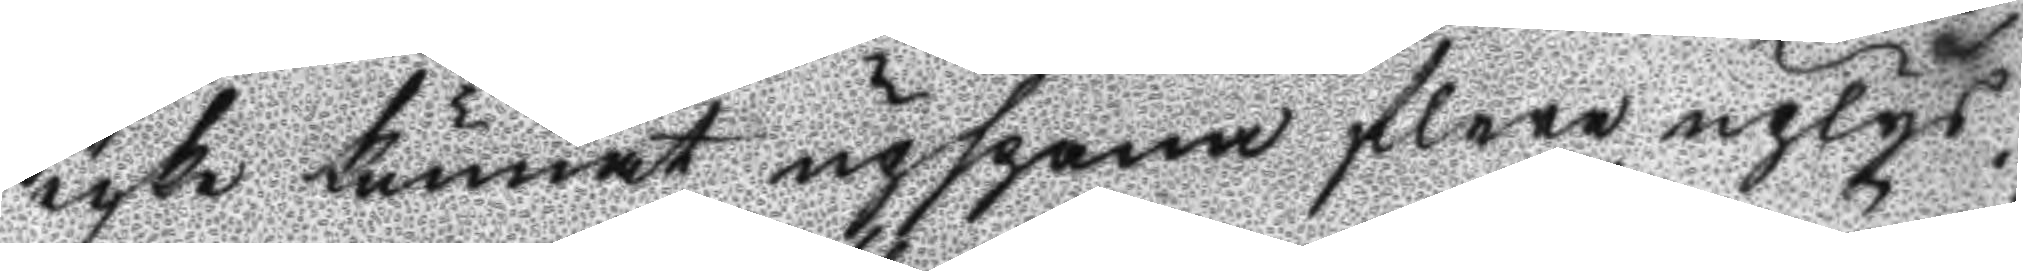icke kunnat upspana flere uplys¬
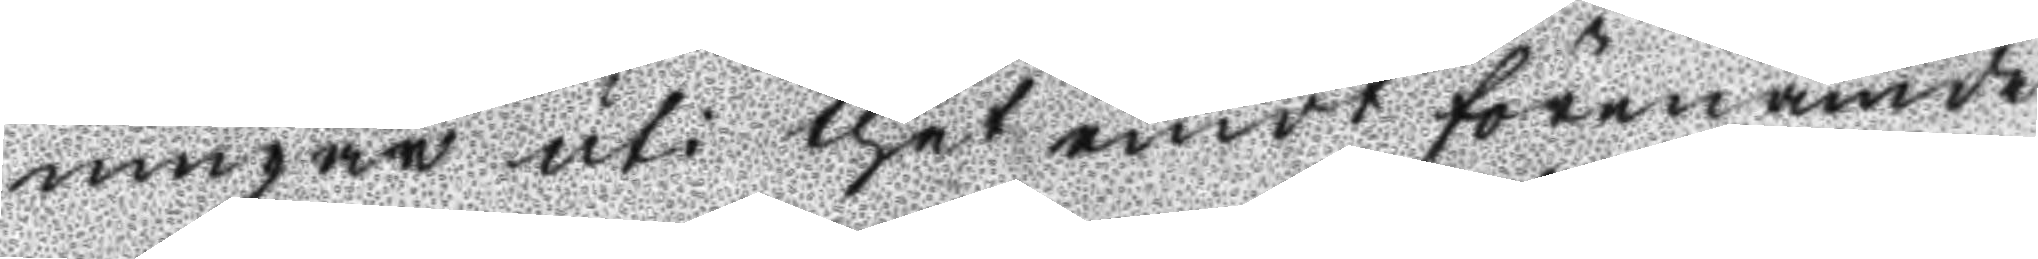ningar uti thet emot föremämde
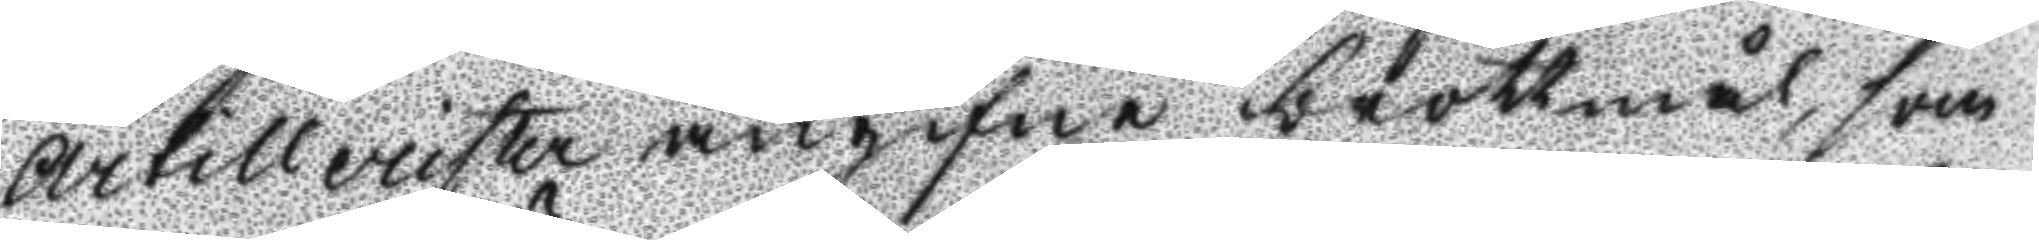Artillerister angifne brottmål, som
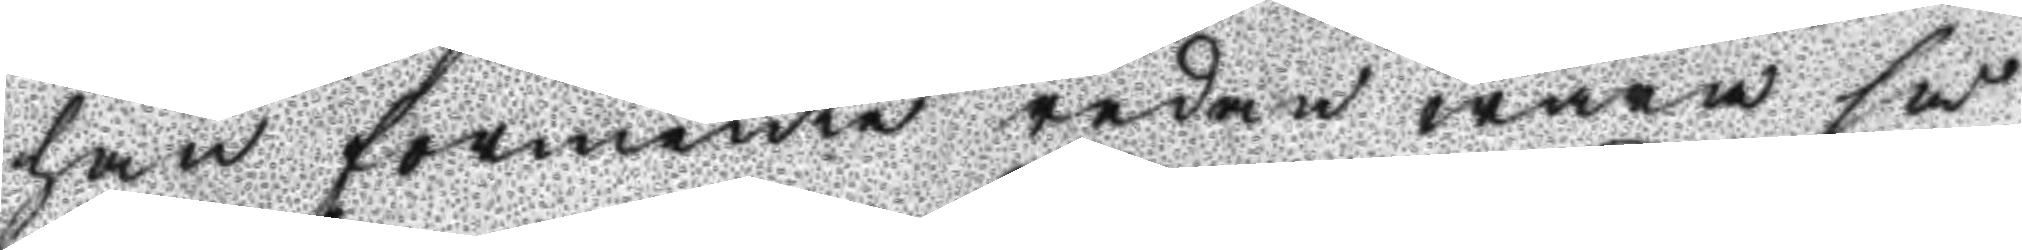han förmente redan wara så
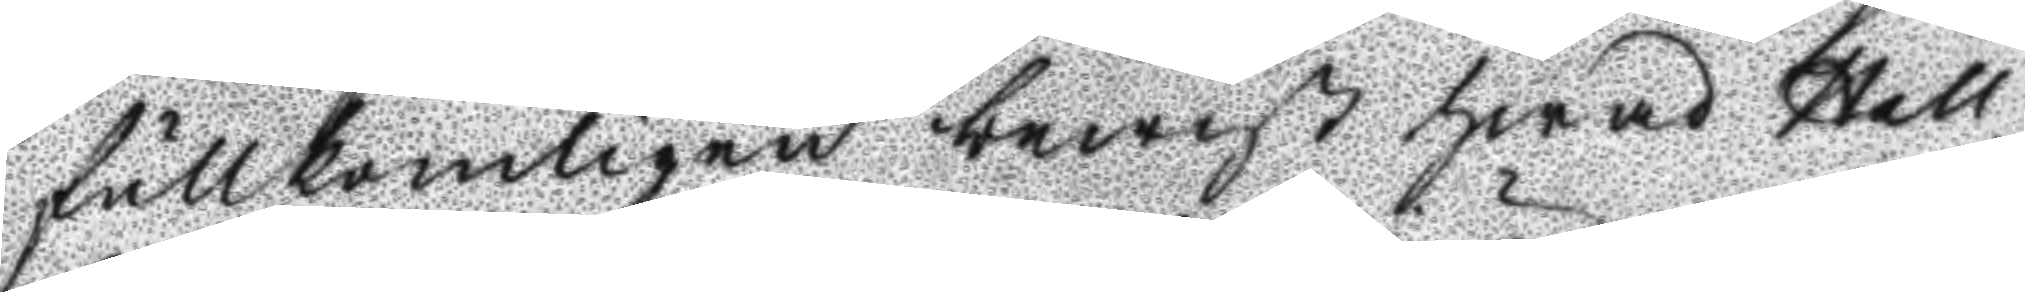fullkomligen bewist hwad Hell¬
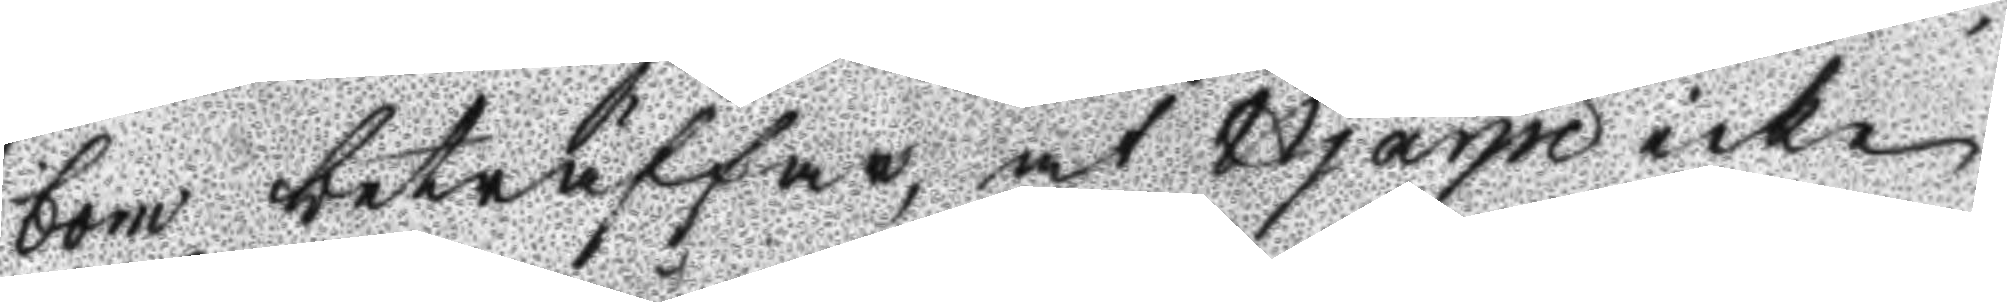bom beträffar, at Hjärpe icke
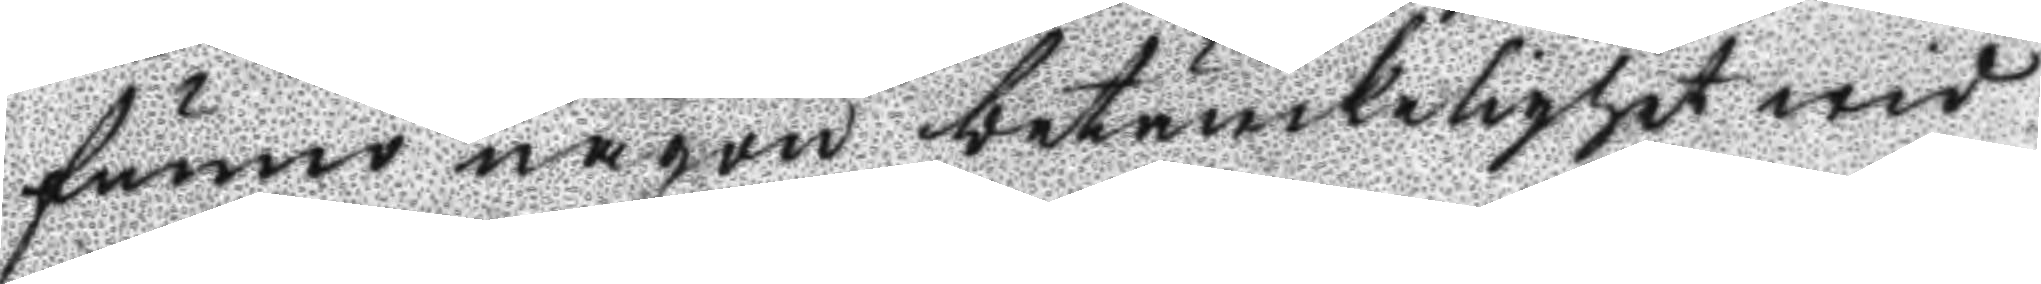funno någon betänkelighet wid
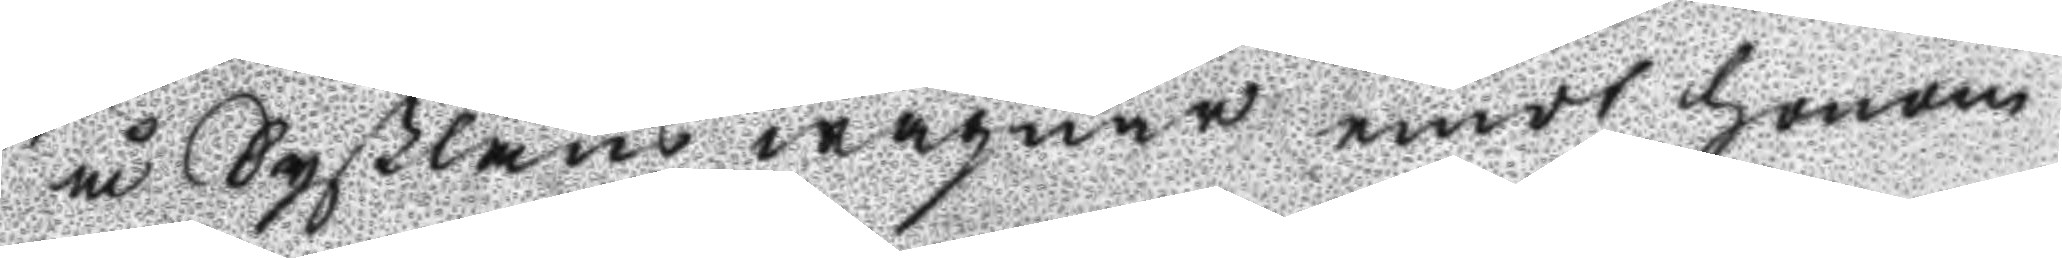å Syßlans wägnar emot honom
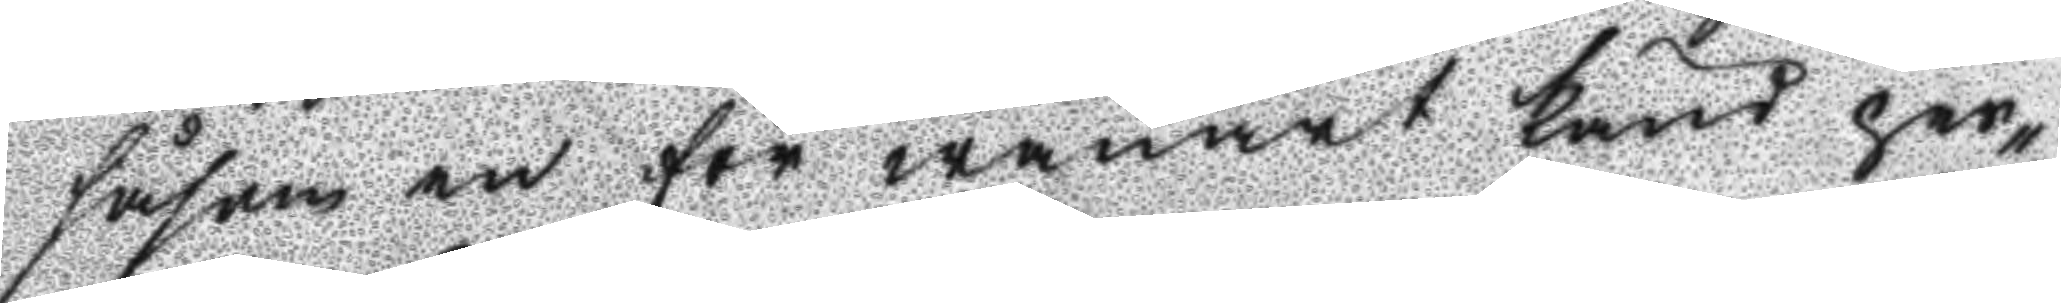såsom en för wanart känd per¬
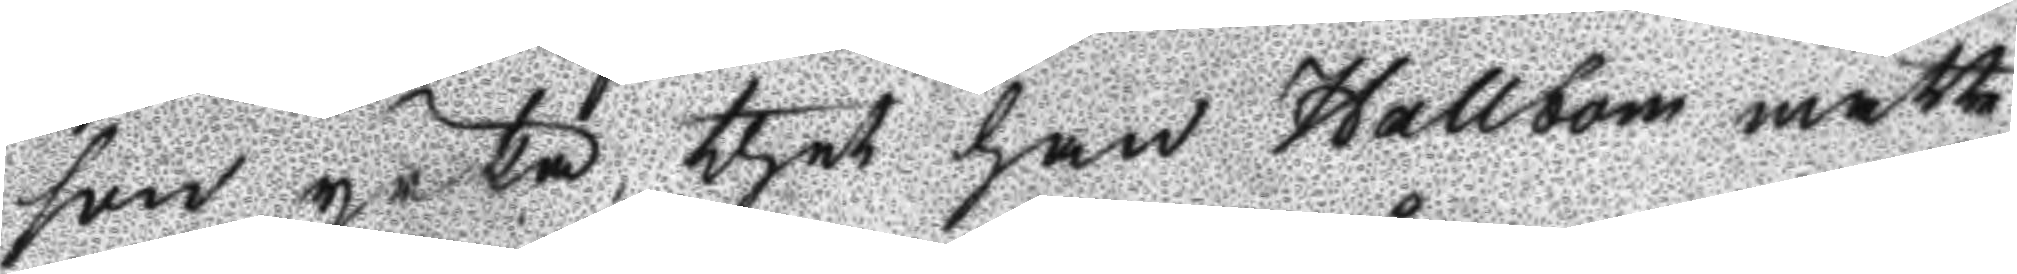son yrka thet han Hallbom måtte
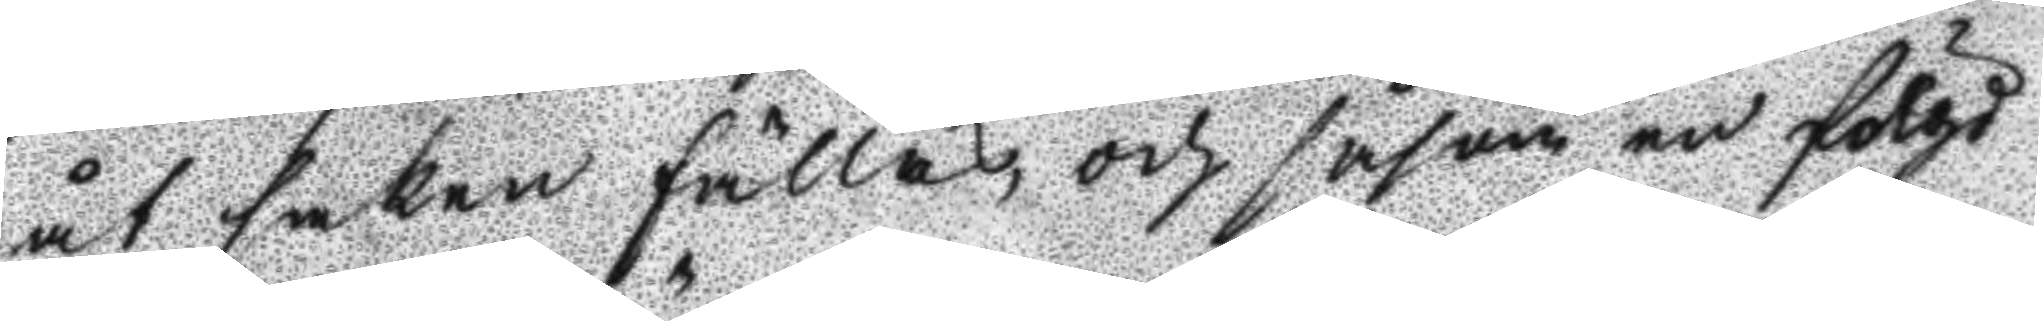åt saken fällas, och såsom en fölgd
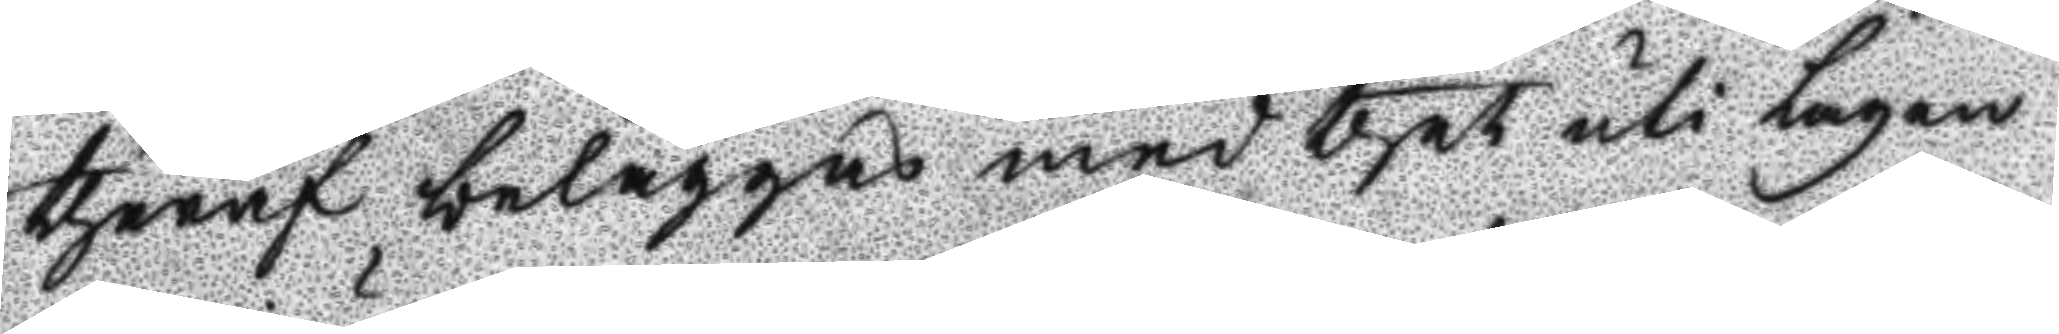thäraf beläggas med thet uti lagen
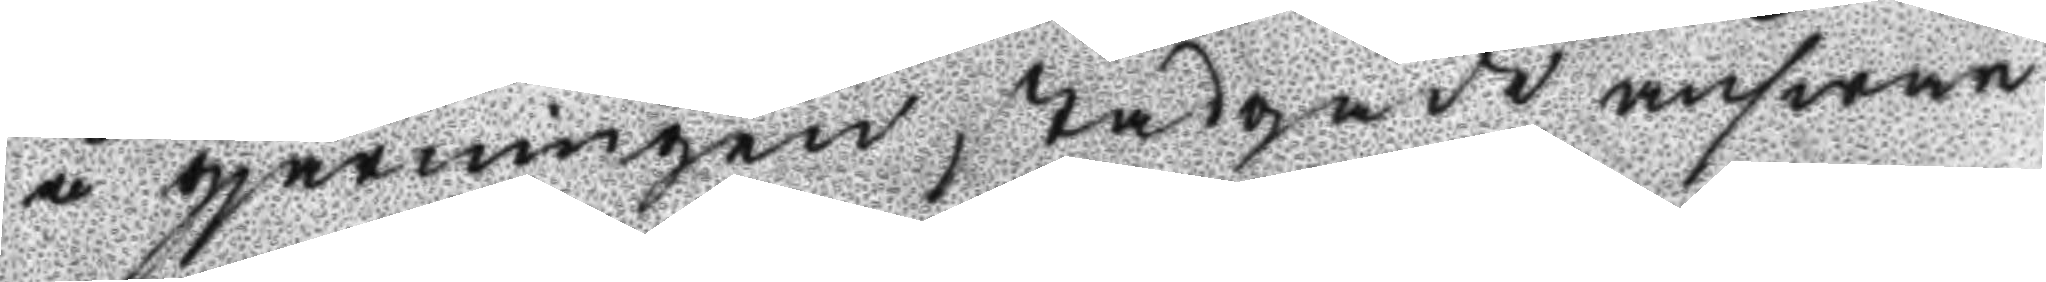å gjärningen stadgade answar
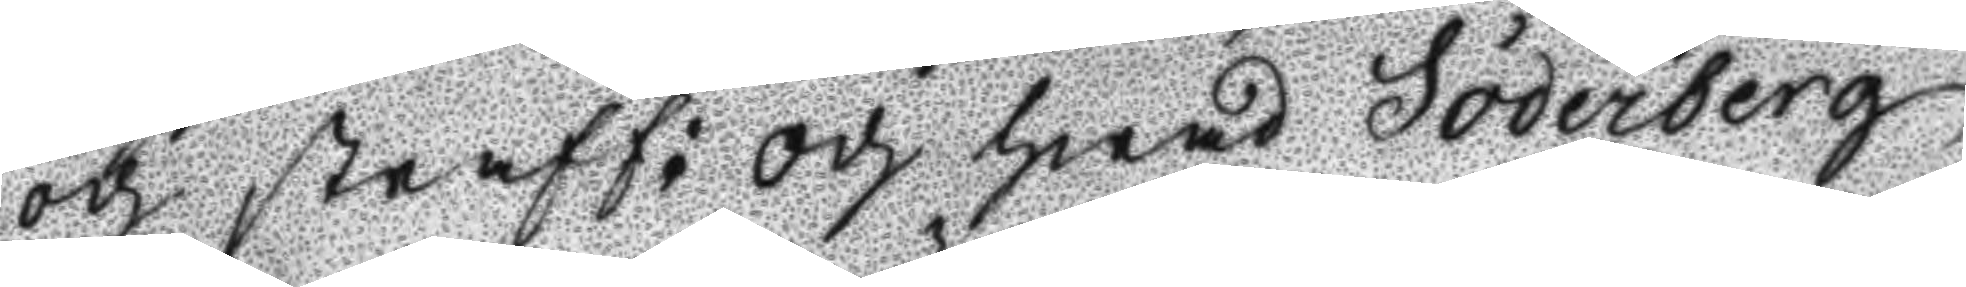och straff: och hwad Söderberg
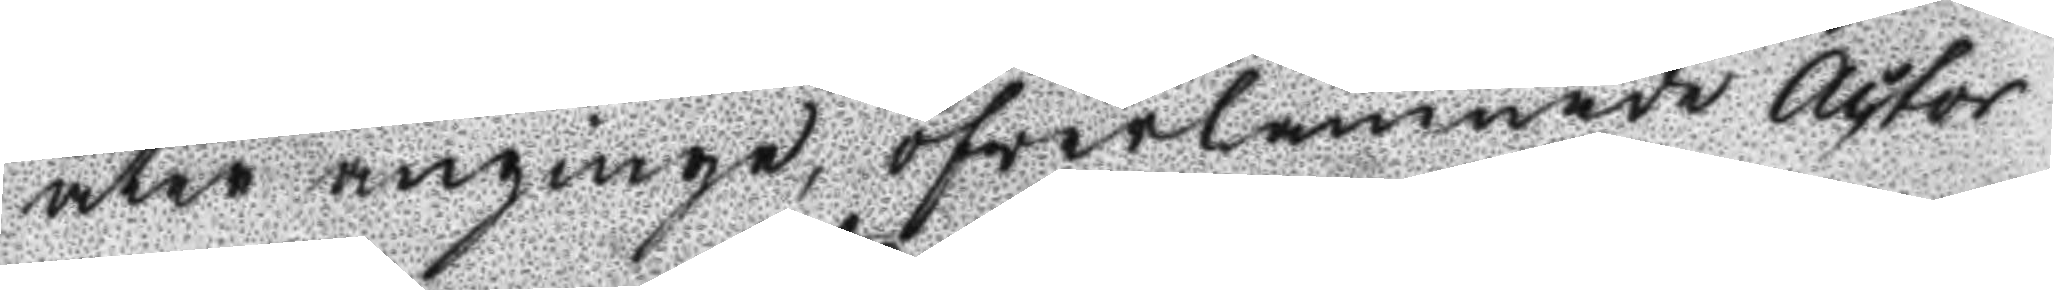åter anginge, öfwerlämnade Actor
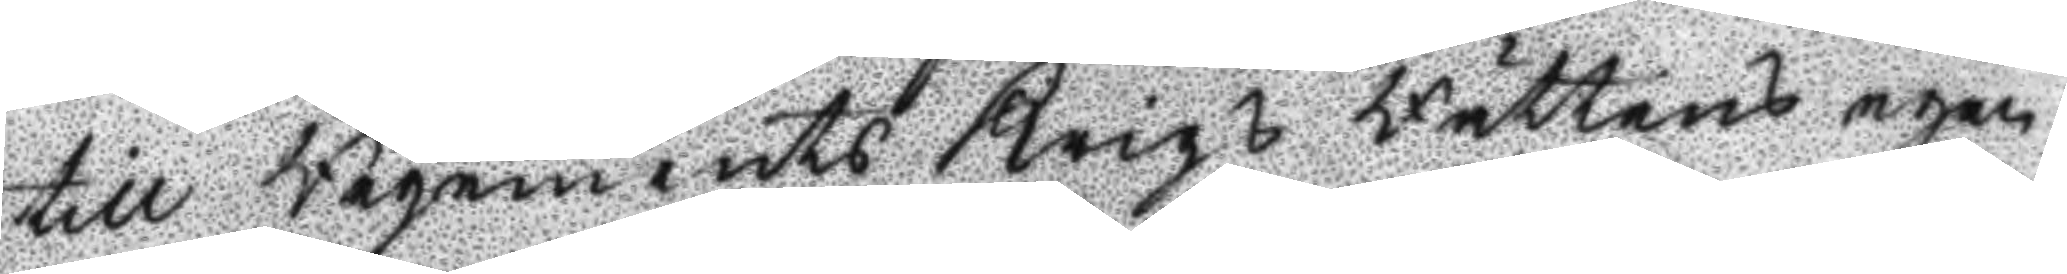till regements Krigs Rättens egen
